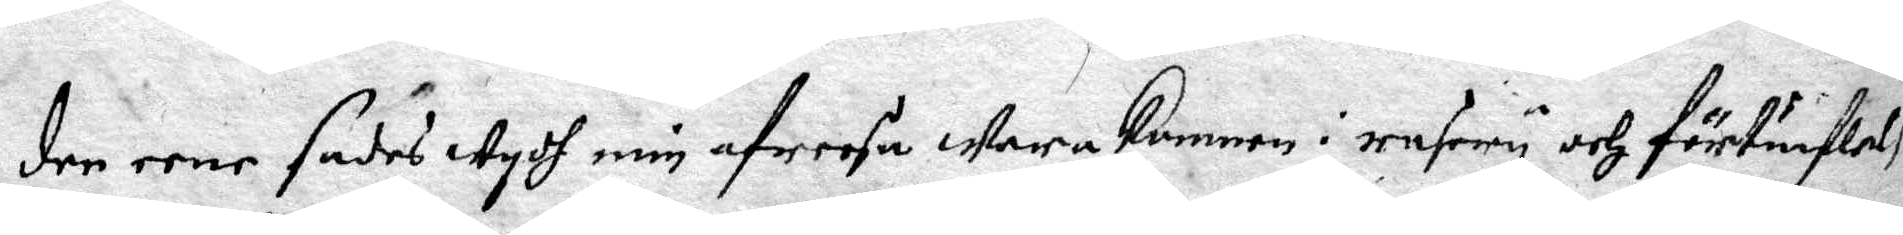den eene sades wydh min afreesa wara kommen i rasery och förtuiflelse
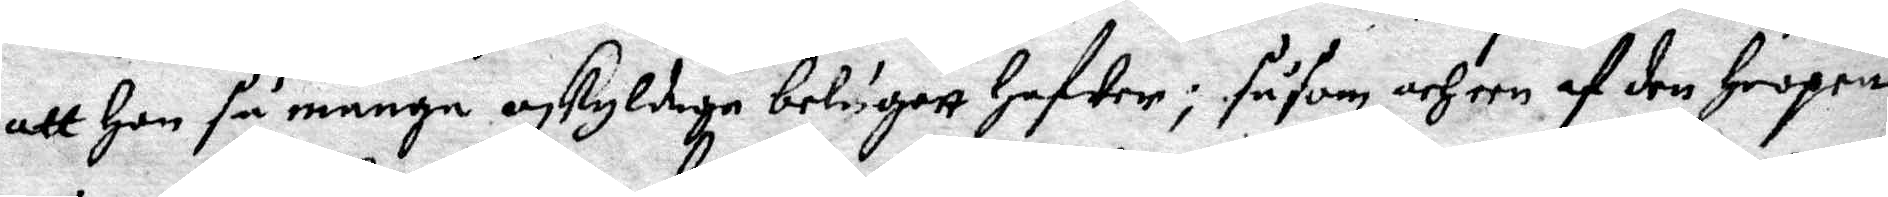att Hon så många oskyldiga betygatt Hafwer; såsom och een af den Hoopen
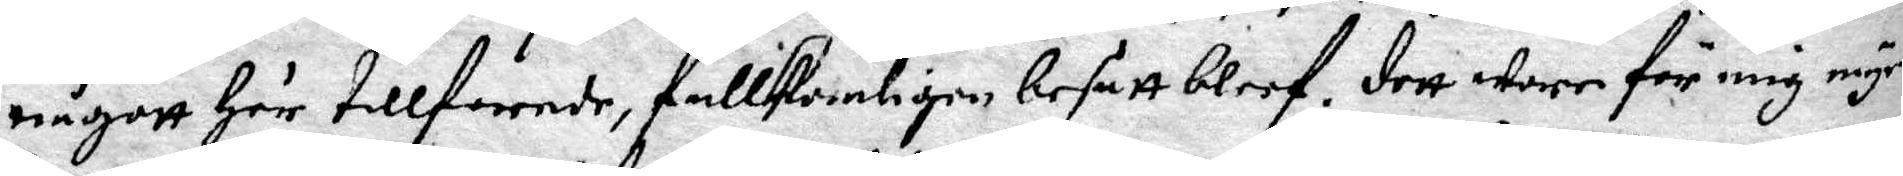någott Här tillforende, dullkombligen besatt bleef. Dett warr för mig myc¬
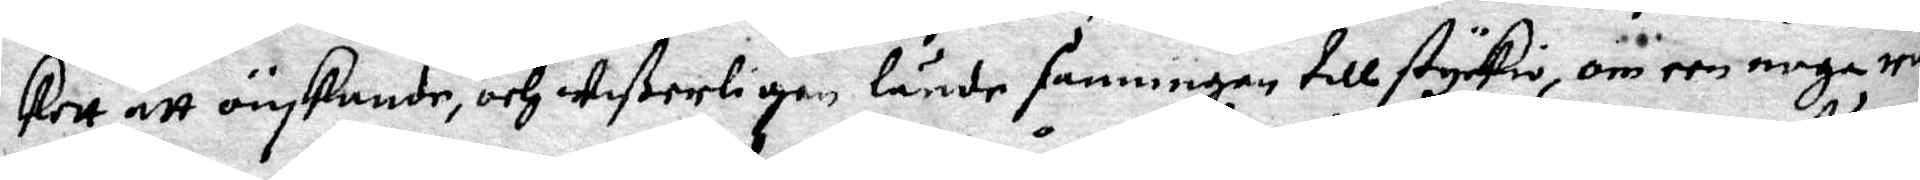kett att önskande, och wißerligen lände sanningen till styrkie, om een noga ran¬
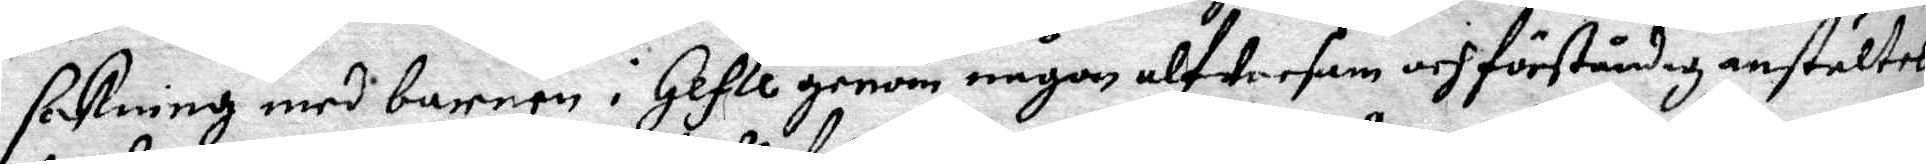sakning med barnen i Gefle genom någon alwarsam och förståndig anstältes
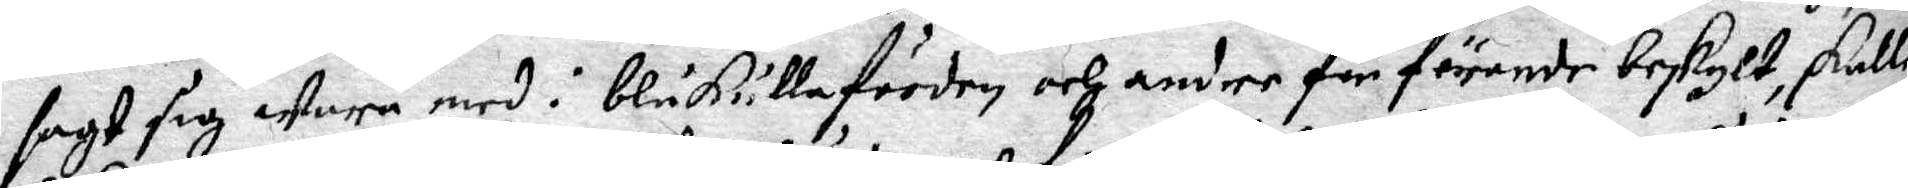sagt sig wara med i blåkullafärden och andre för dörande beskult, skulle
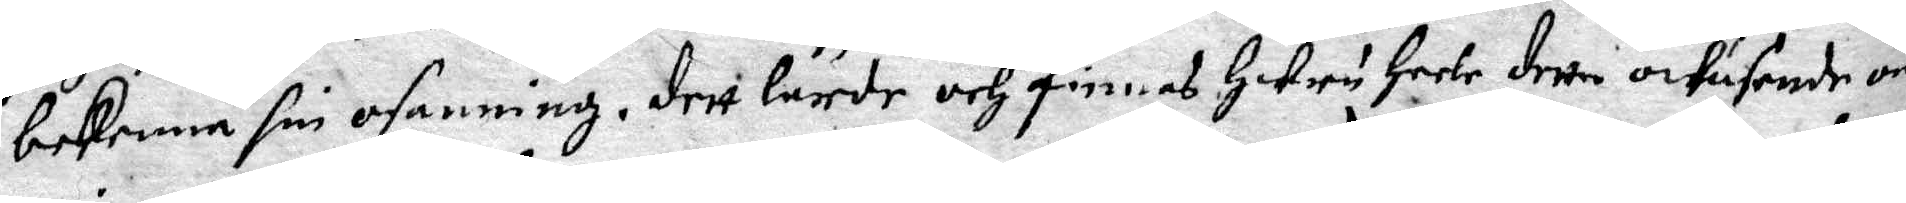bekenna sin osanning. dett lärde och finneas Huru Heele detta owäsende om
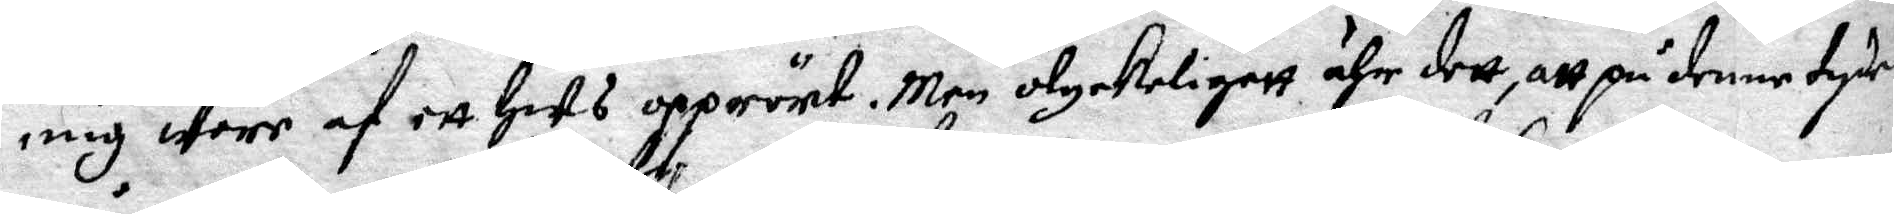mig wore af ett Hus opprört. Men olyckeligett ähr dett att på denne tyden
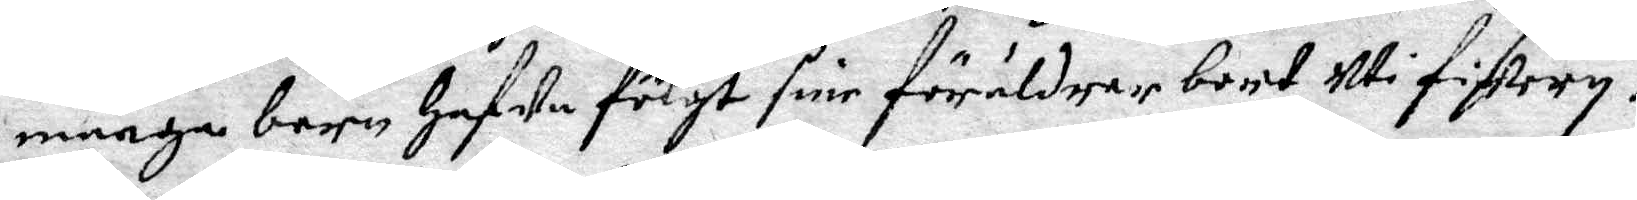många barn hafwa fölgt sine föräldrar bort uti Fiskery.
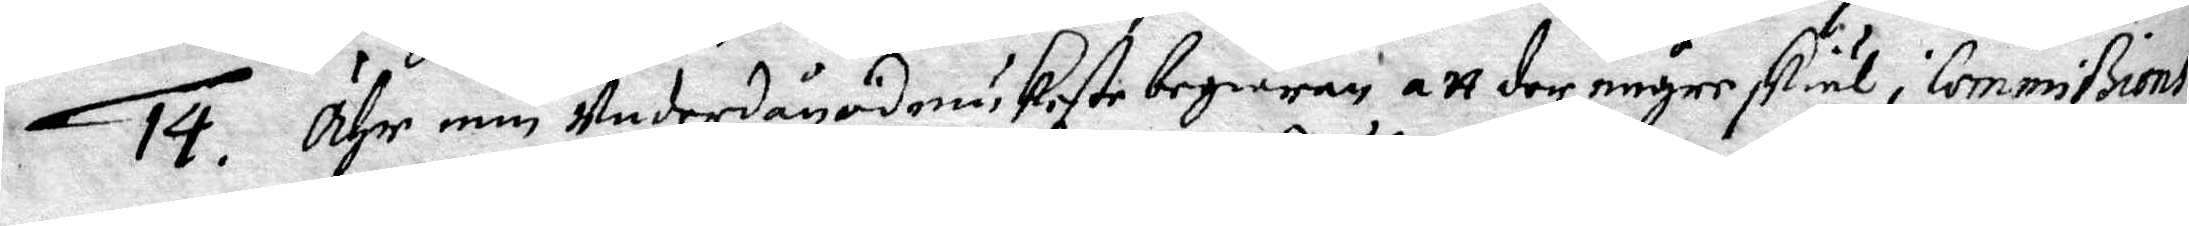14. Ähr min underdånödmiukaste begiäran att der någre skiäl i Commißions
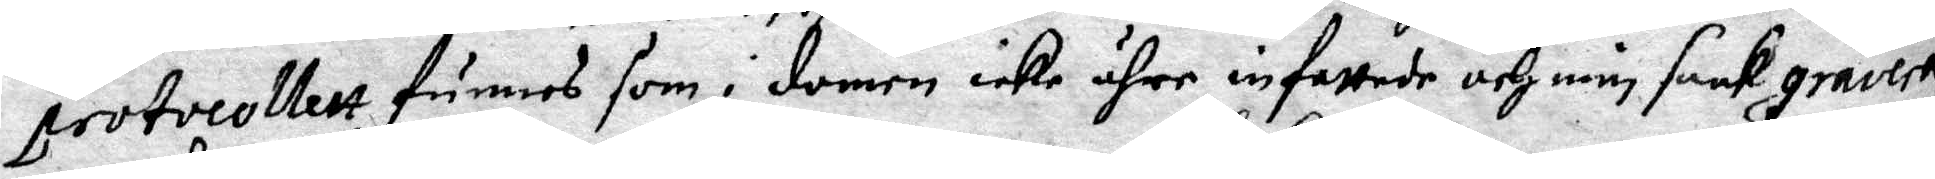protocillett finnes som i domen icke ähre infattade och min saak gravera,
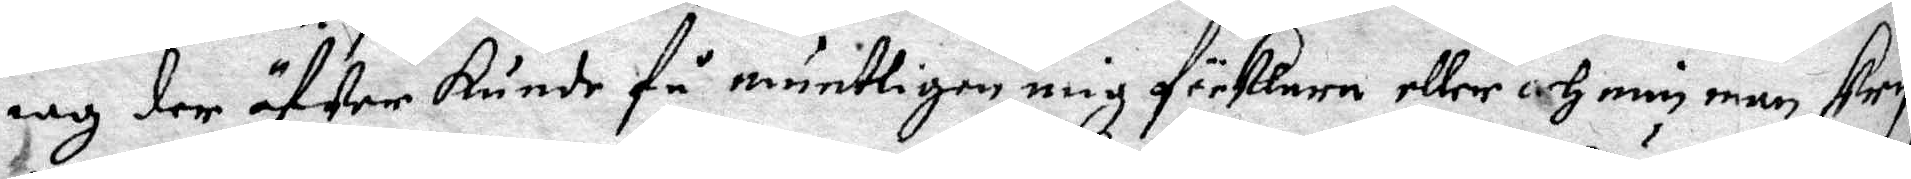och der öfwer kunde få munteligen mig förklara eller och min man skrif¬
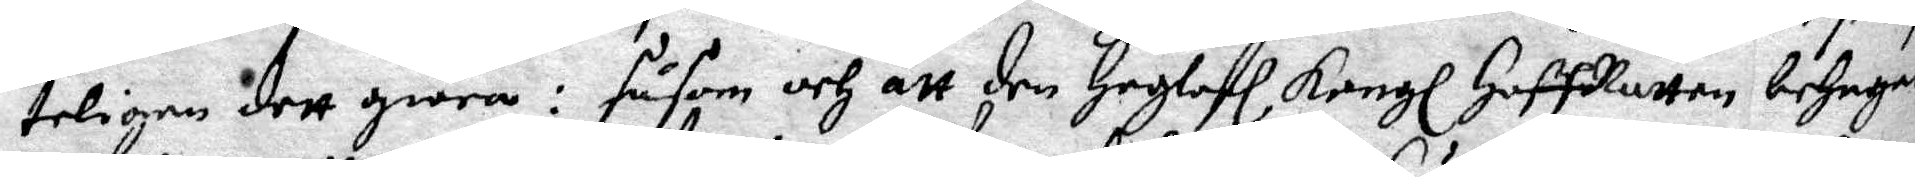teligen dett giöra: såsom och att den Hoglofl Kongl HoffRätten behagde
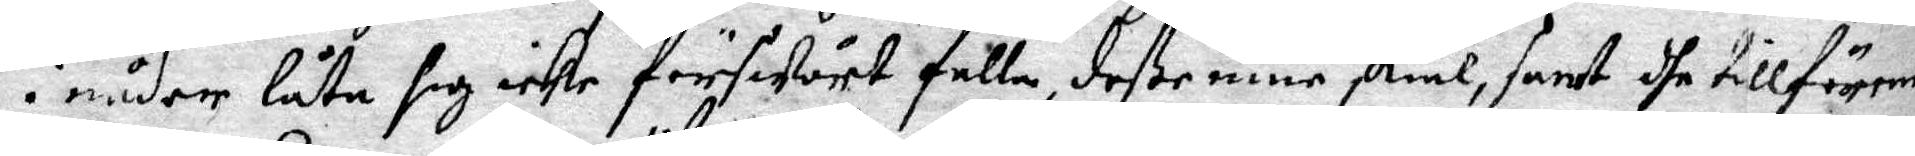i nåder låta sig icke förswårt falla, deße mine skiäl, samt dhe tillförende
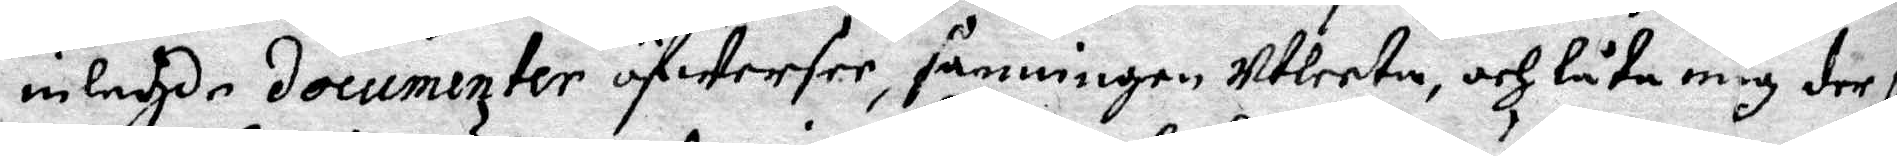inlagde documenter öfwersee, sanningen utleeta, och låta mig der på
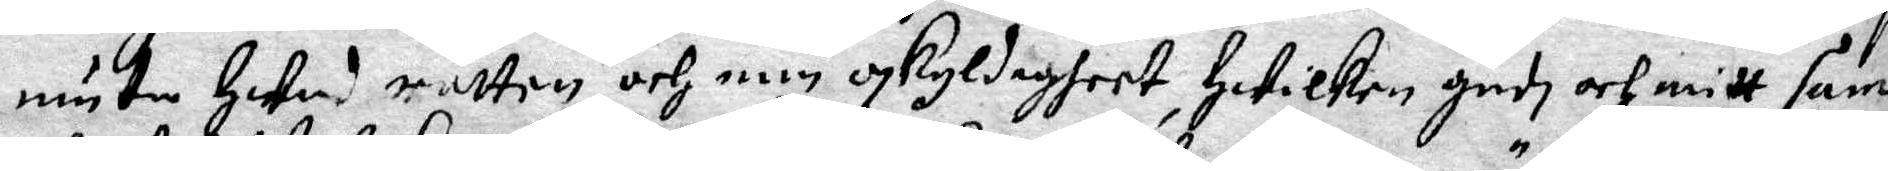muta hwad rätten och min oskyldigheet, hwilken gudi och mitt sam¬
